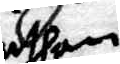uthan
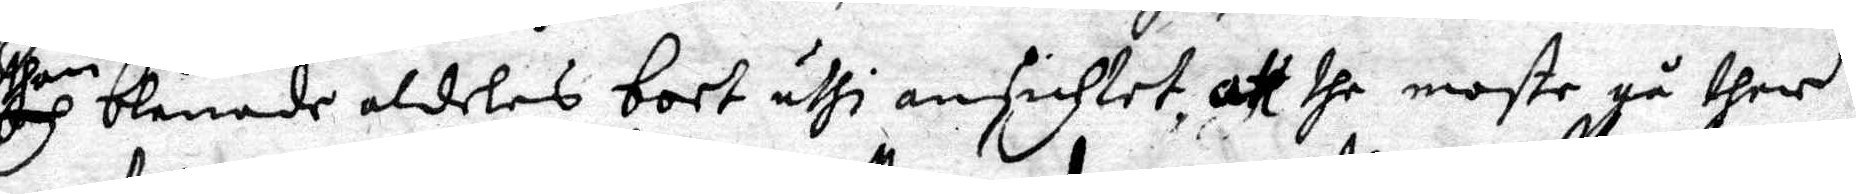och blånade aldeles bort uthi ansichtet, att dhe moste gå ther
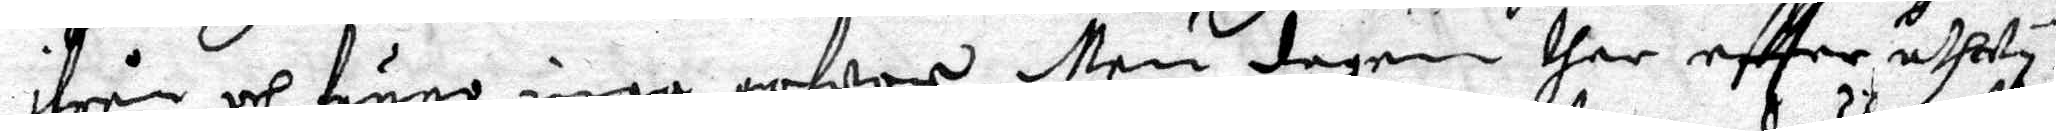ifrån och funno inga gofwor. Men dagen ther eftter uthwy¬
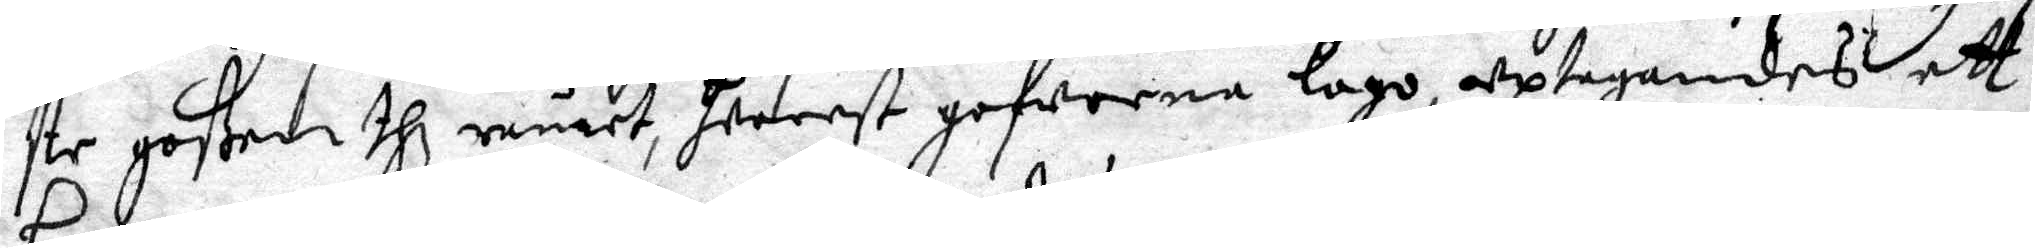ste goßen thz rumet, hwarest gofwerna logo, uptagandes ett
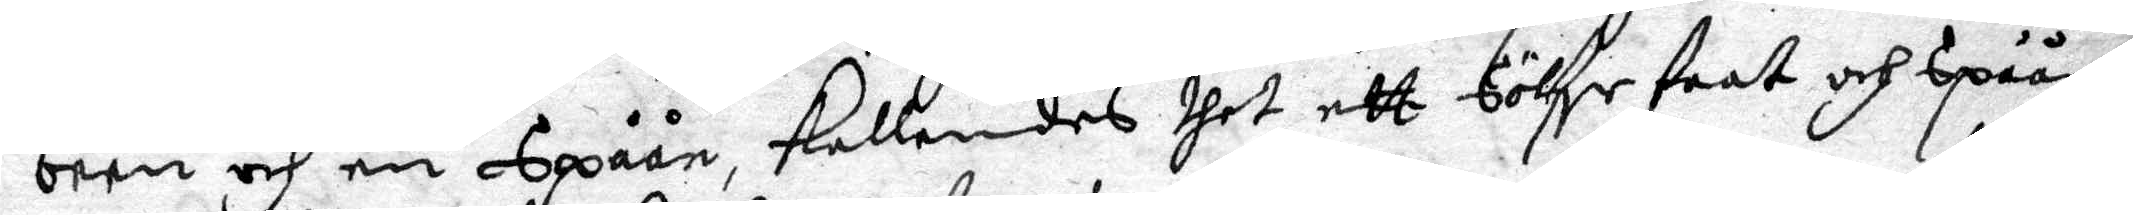been och en Spåån, kallandes thet ett Sölfr faat och spåån
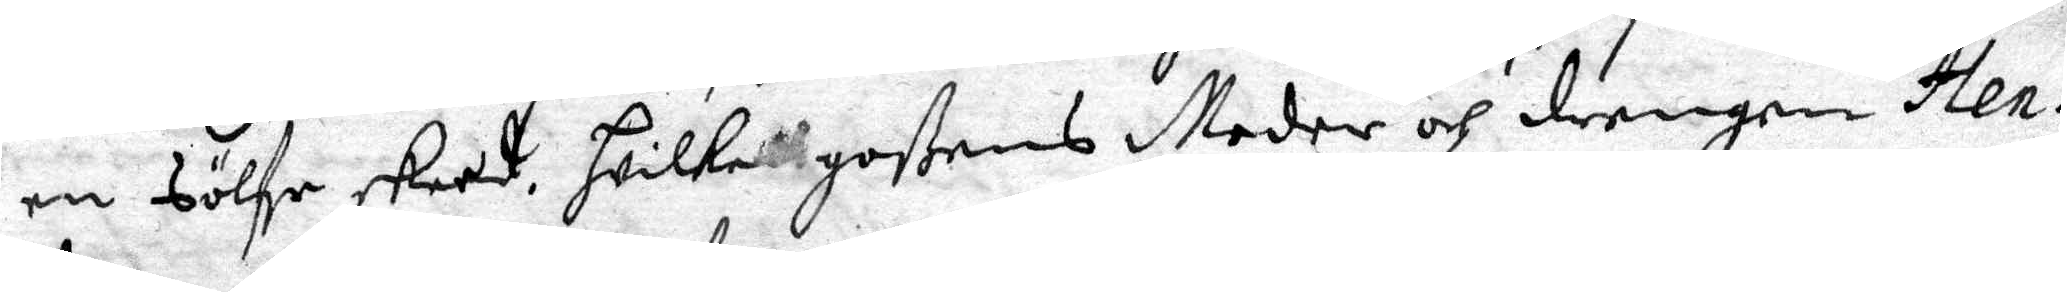en Sölfe skeed. Hwilket goßens Moder och drengen Hen¬
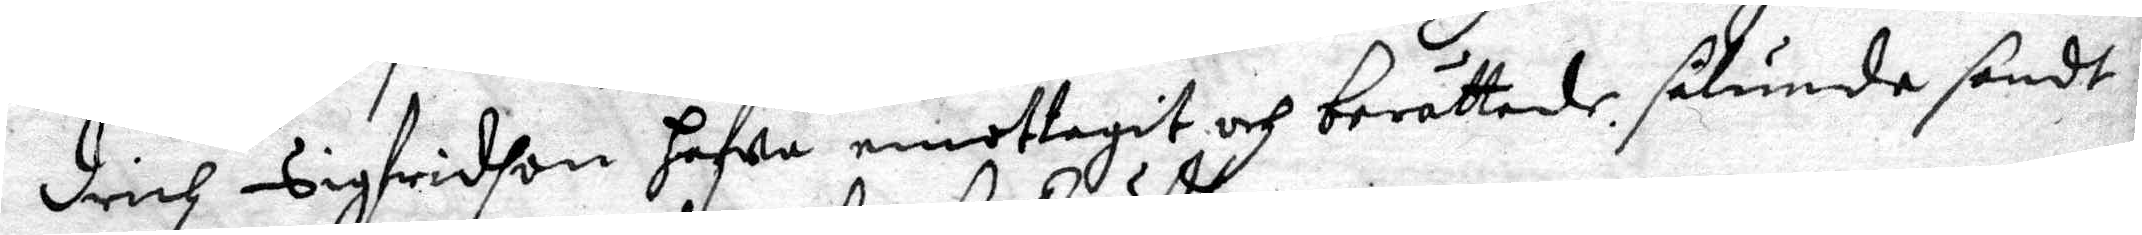drich Sigfridson hafwa emottagit och berättade, sålunda sandt
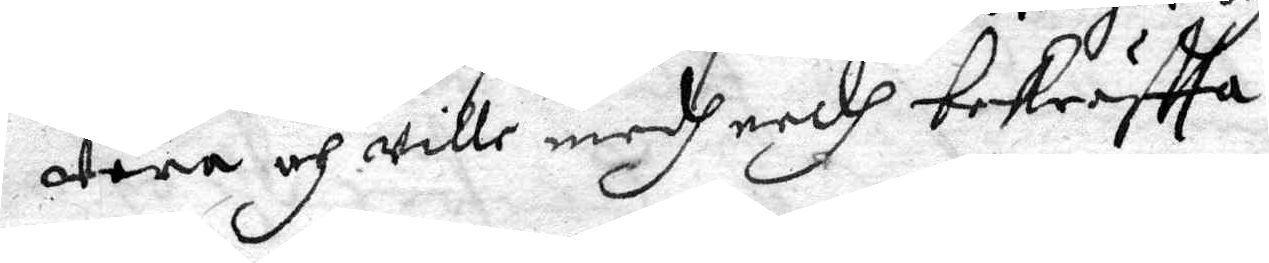wara och wille medh eedh bekräftta.
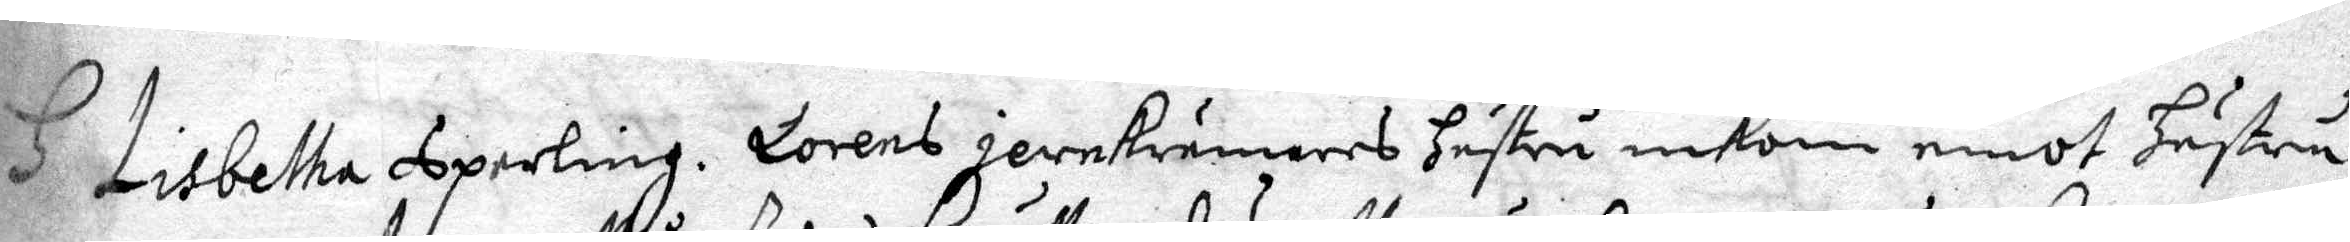H Lisbetha Sperling. Lorens jernkrämares hustru inkom emot hustru
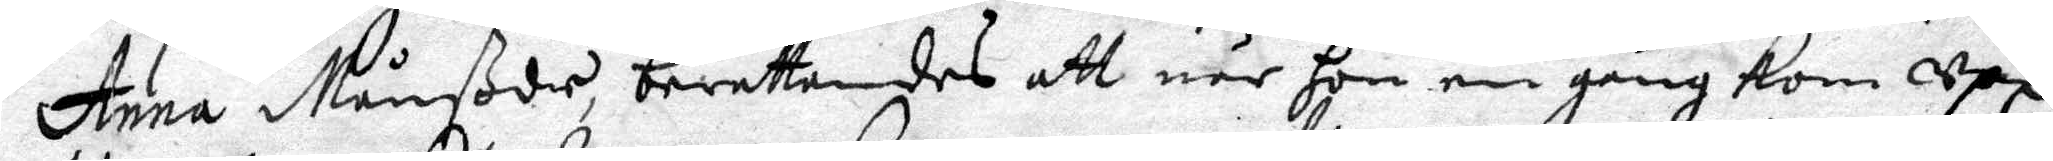Anna Månßdr, berättandes att när hon en gång kom Upp
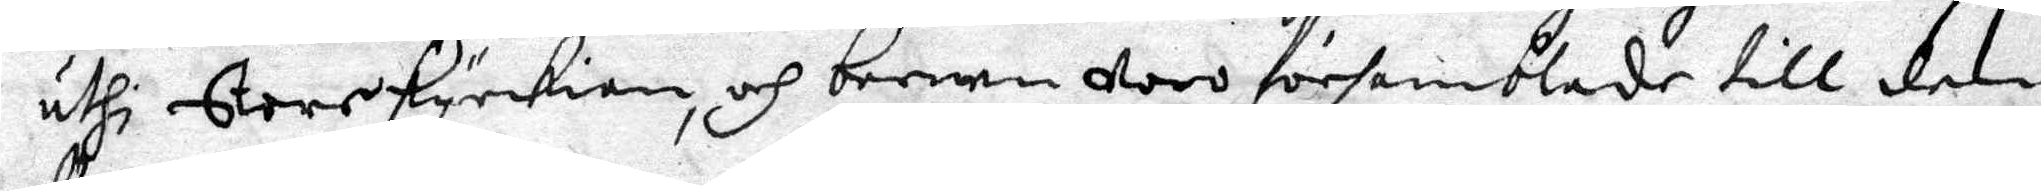uthi Store kyrkian, och barnen woro församblade till den
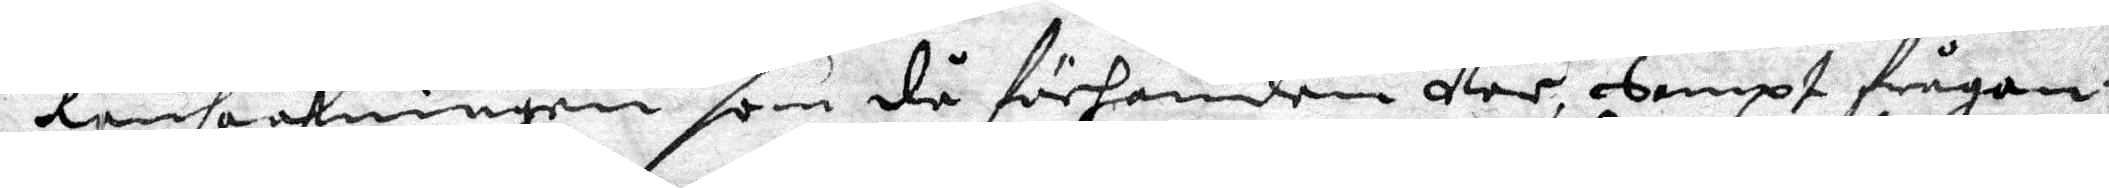Ransaakningen som då förhanden Var, Sampt frågan¬
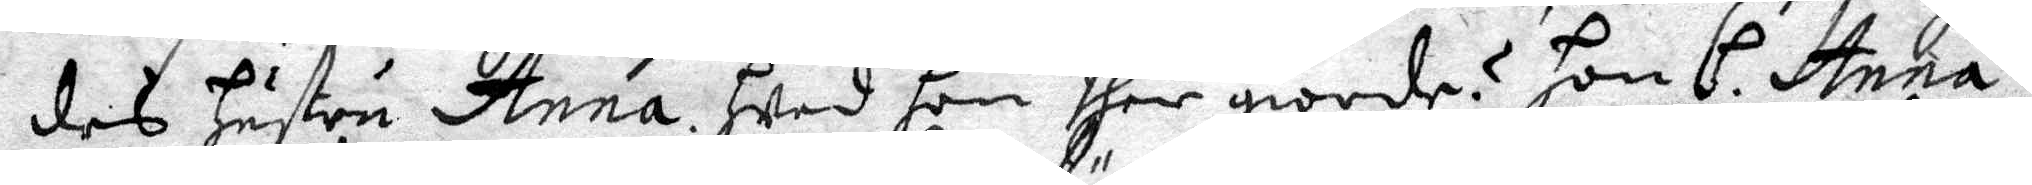des hustru Anna hwad hon ther giorde? Hon H. Anna
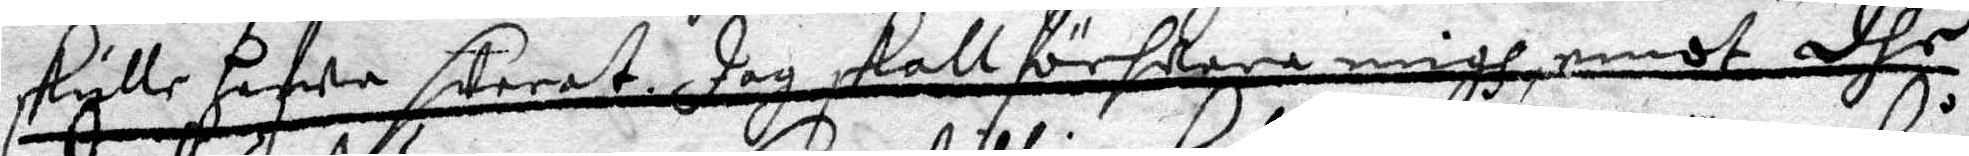skulle hafwa swarat Jag skall förswara migh, emot dhe
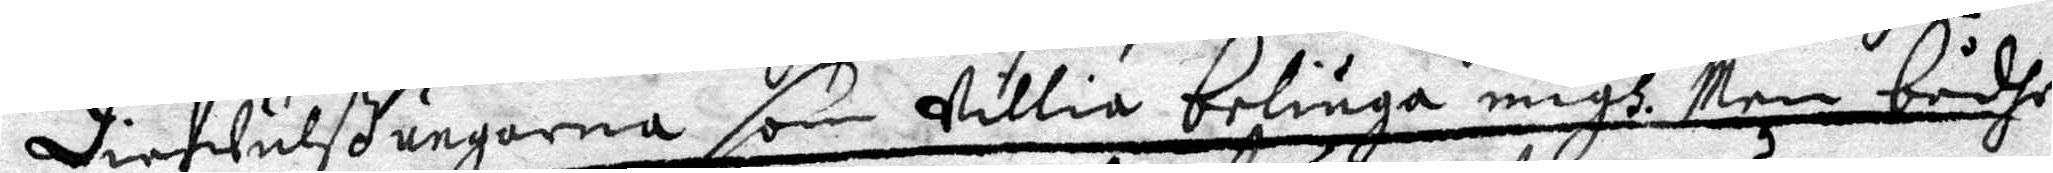Diefwulßungarna som willia beliuga migh, Men bådhe
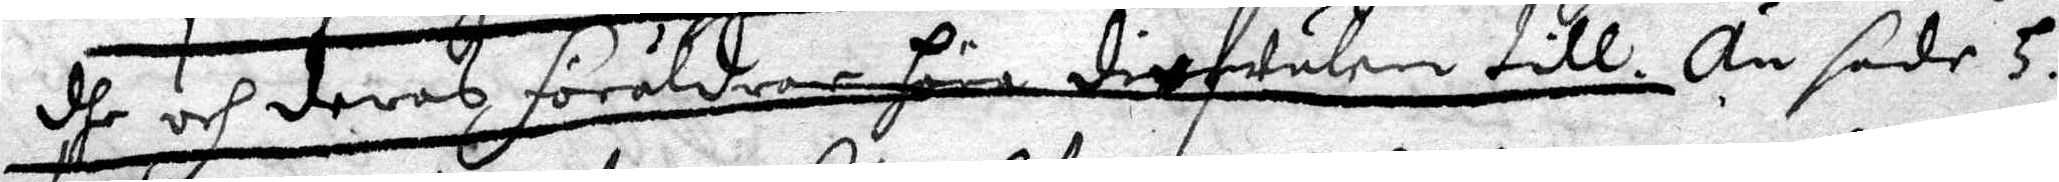dhe och deras föräldrar höra dilfwulen till. Än sade H.
